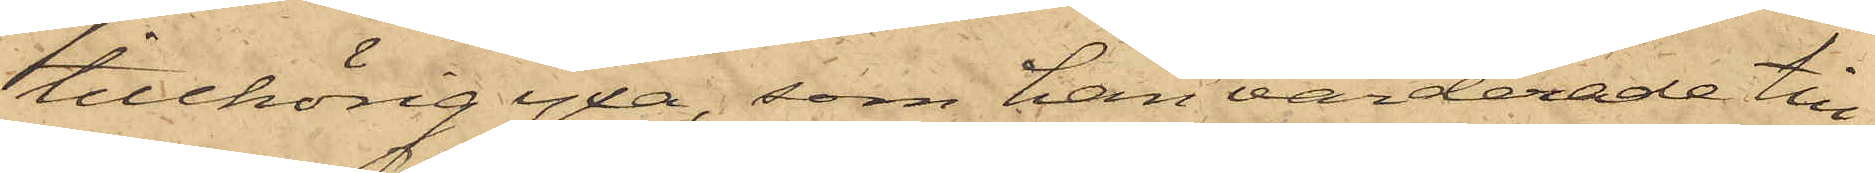tillhörig yxa, som han värderade till
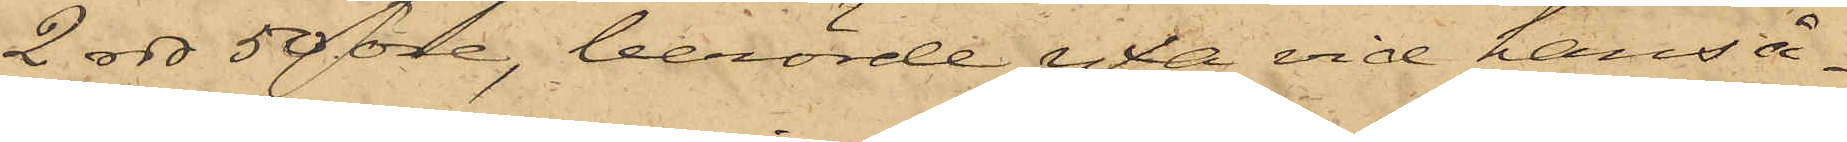2 rdr 50 öre, berörde yxa vid hans å¬
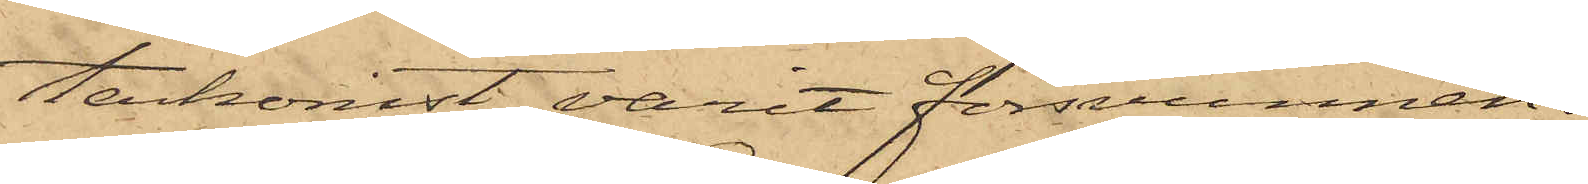terkomst varit försvunnen.
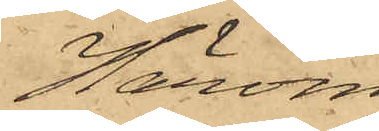Härom
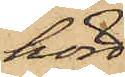hörd
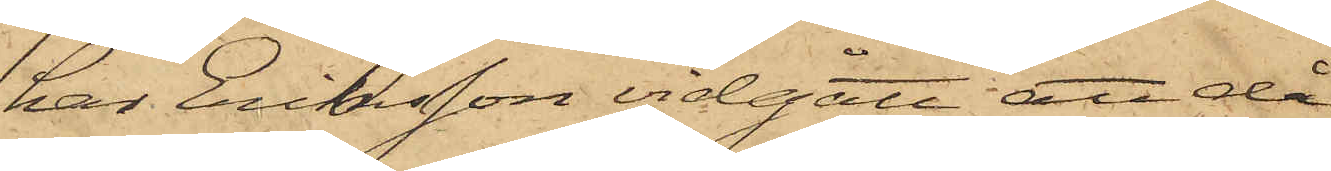har Eriksson vidgått att då
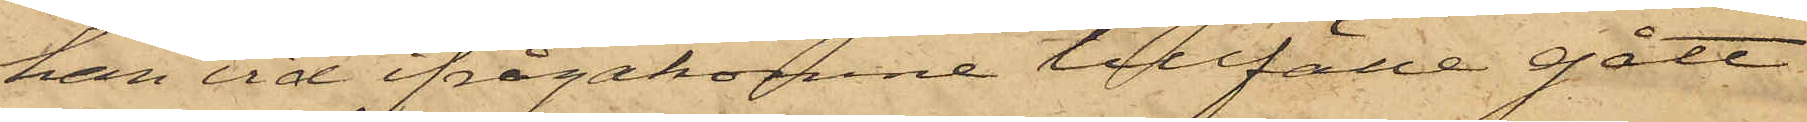han vid ifrågakomne tillfälle gått
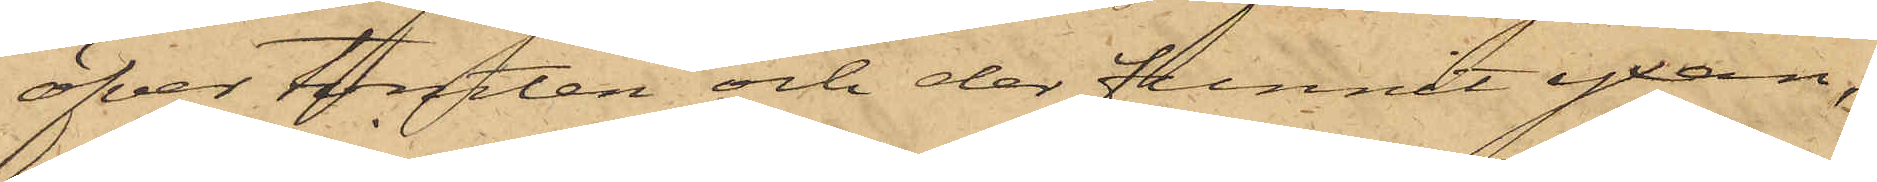öfver tomten och der funnit yxan,
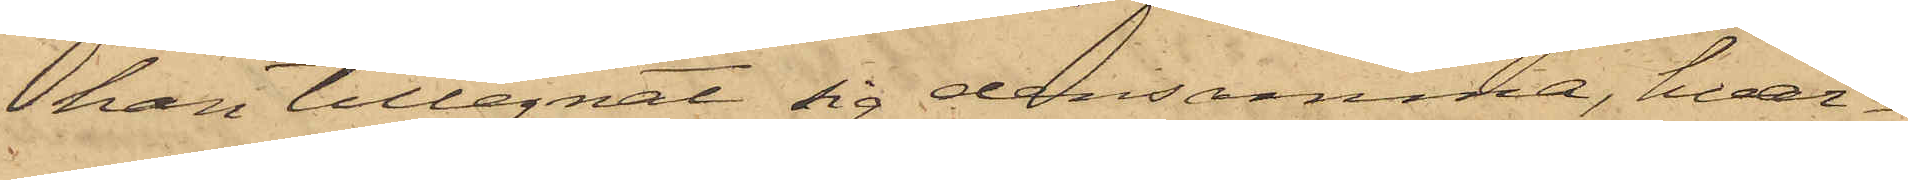han tillegnat sig densamma, hvar¬
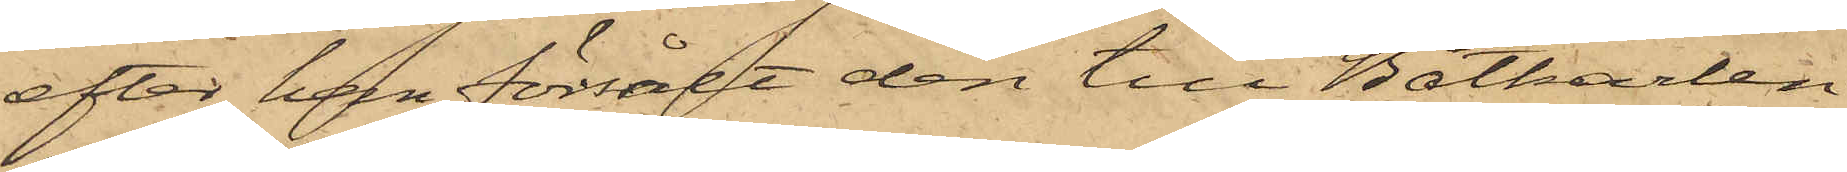efter han försålt den till Båtkarlen
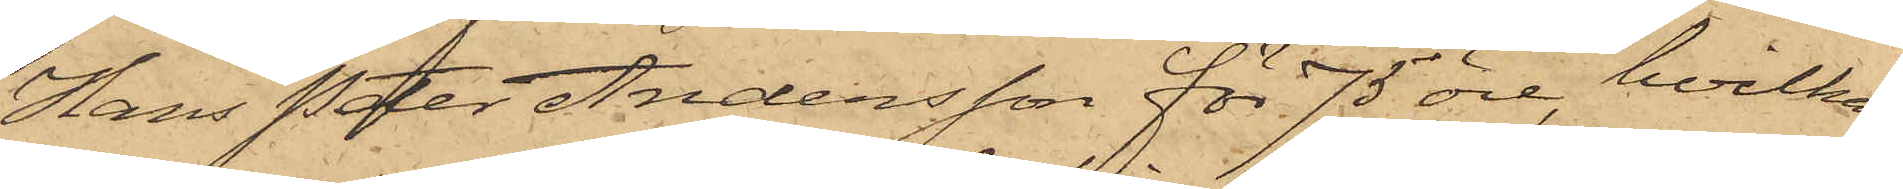Hans Peter Andersson för 75 öre, hvilka
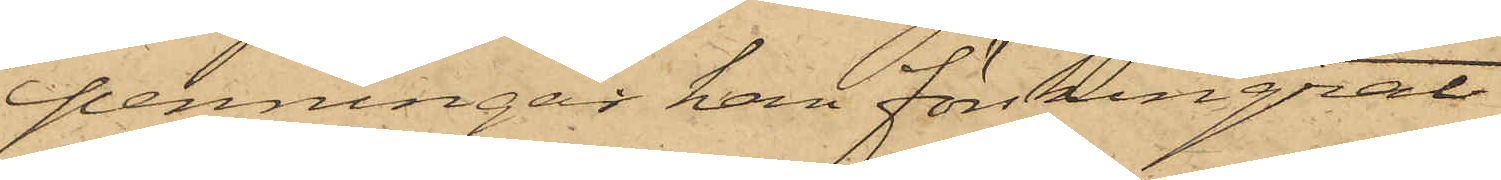penningar han förskingrat
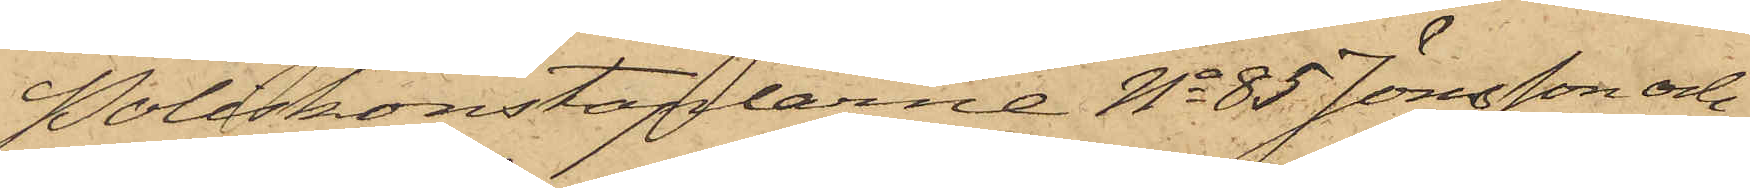Poliskonstaplarne No 85 Jönsson och
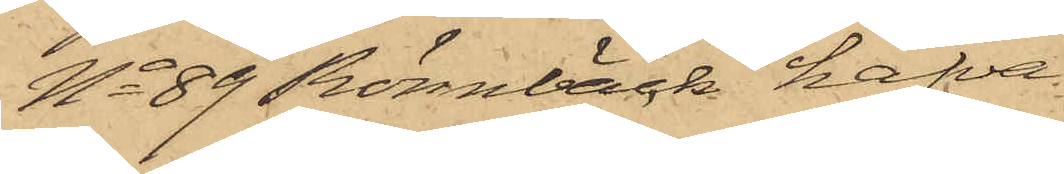No 89 Rönnbäck hafva
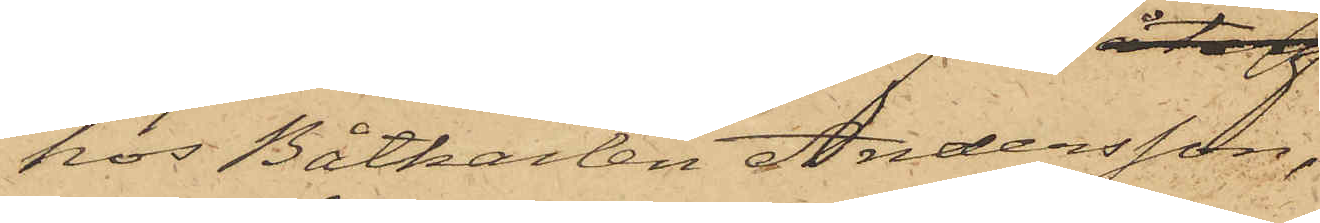hos Båtkarlen Andersson,
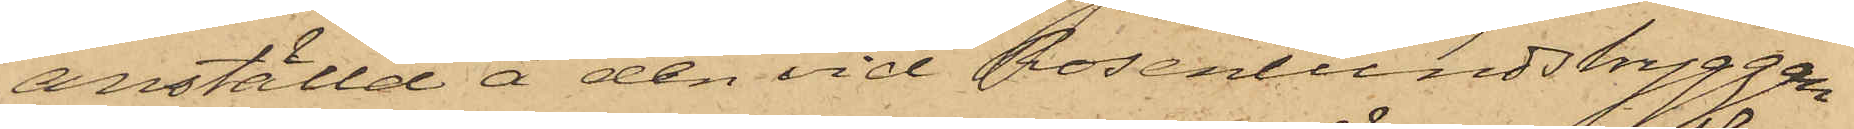anställd å den vid Rosenlundsbryggan
